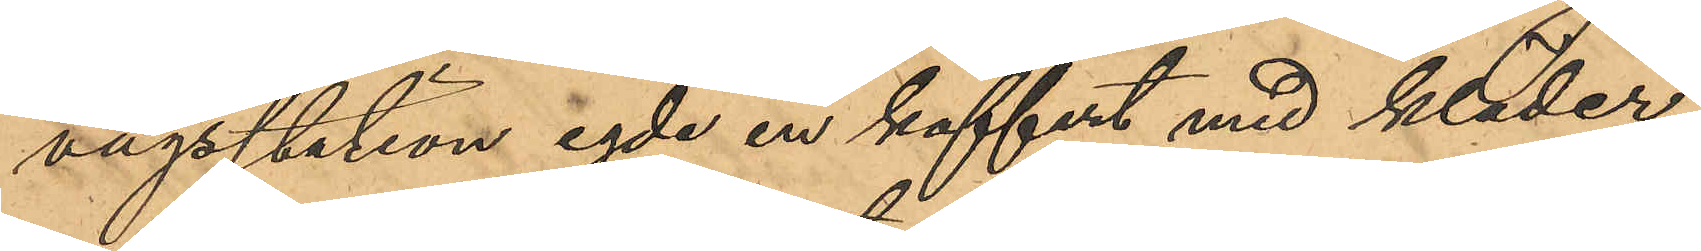vägsstation egde en koffert med kläder,
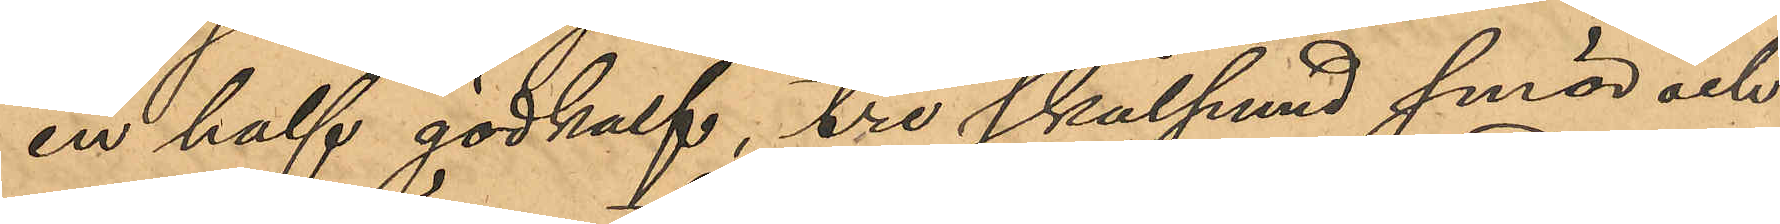en half gödkalf, tre skålpund smör och
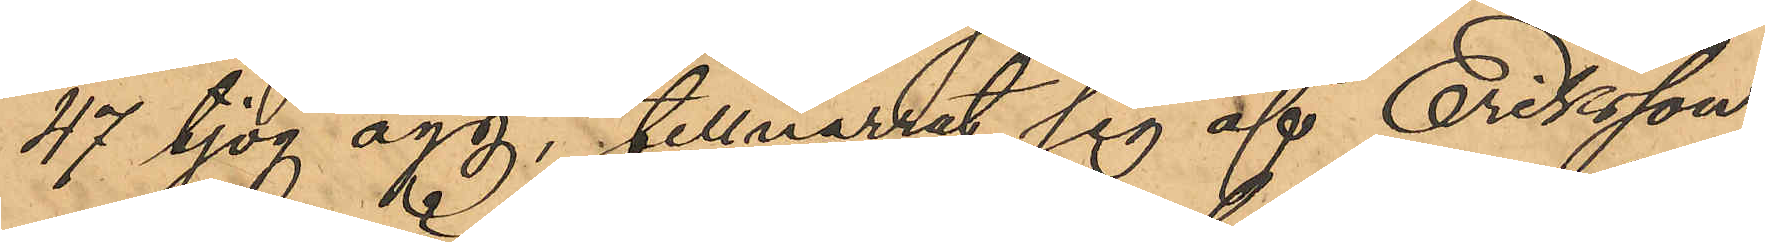47 tjog ägg, tillnarrat sig af Eriksson
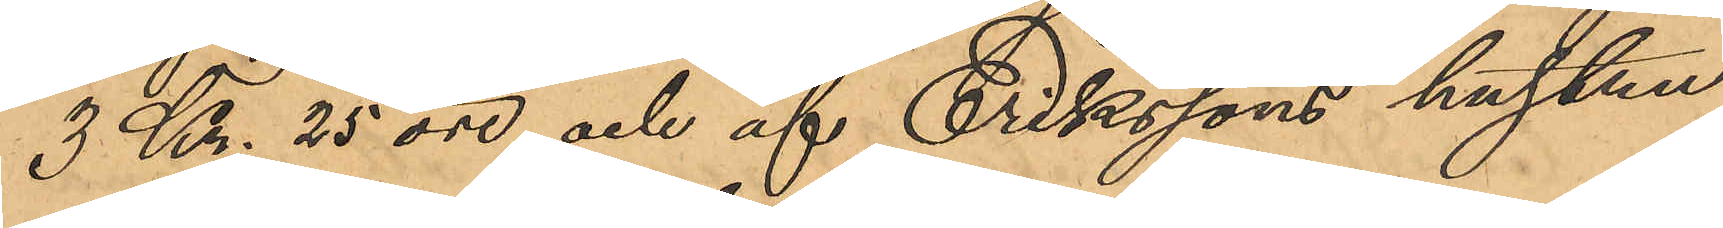3 Kr. 25 öre och af Erikssons hustru
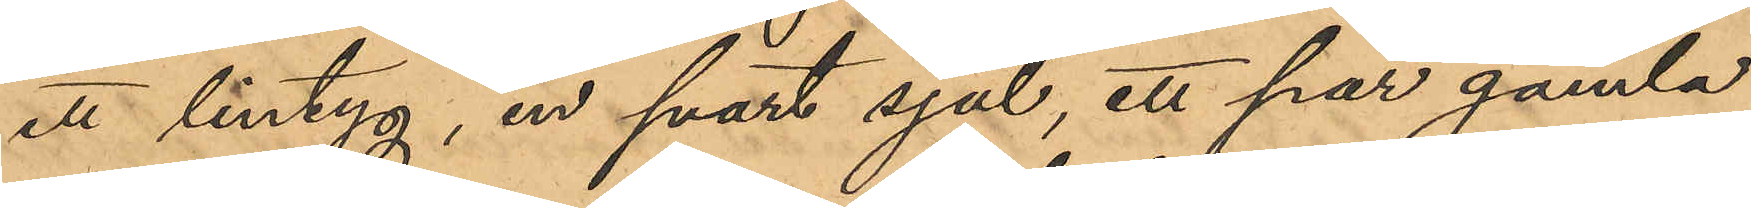ett lintyg, en svart sjal, ett par gamla
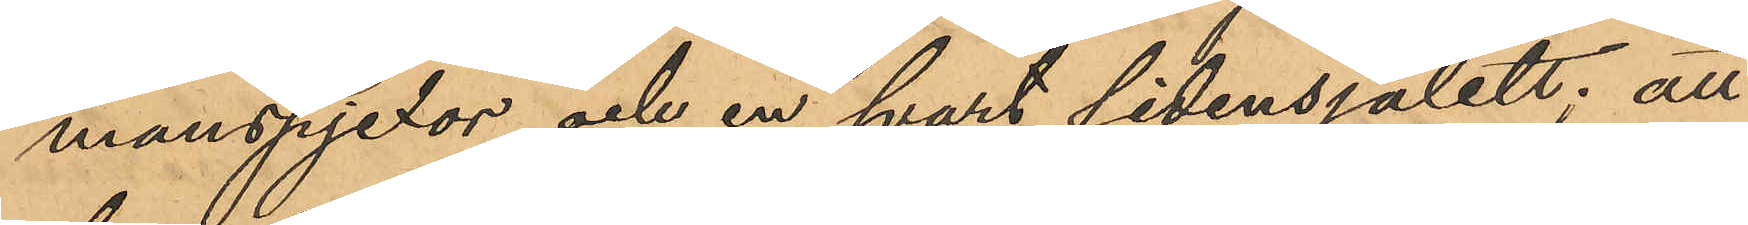manspjexor och en svart sidensjalett; att
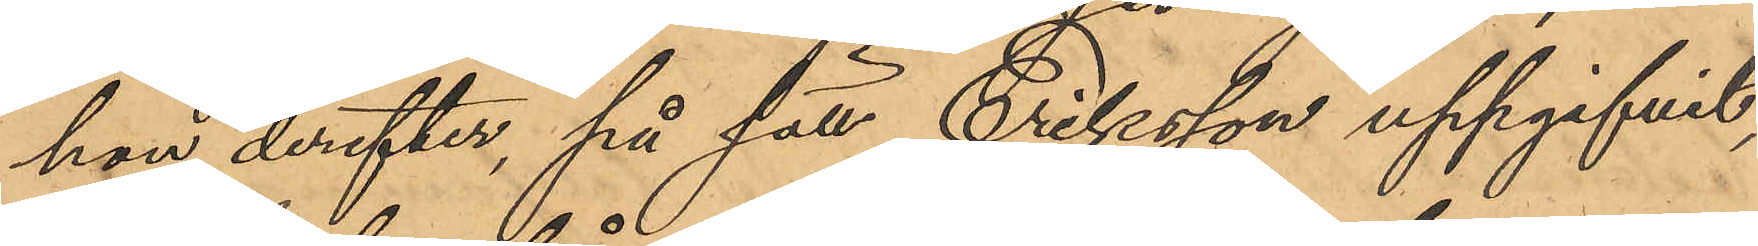hon derefter, på sätt Eriksson uppgifvit,
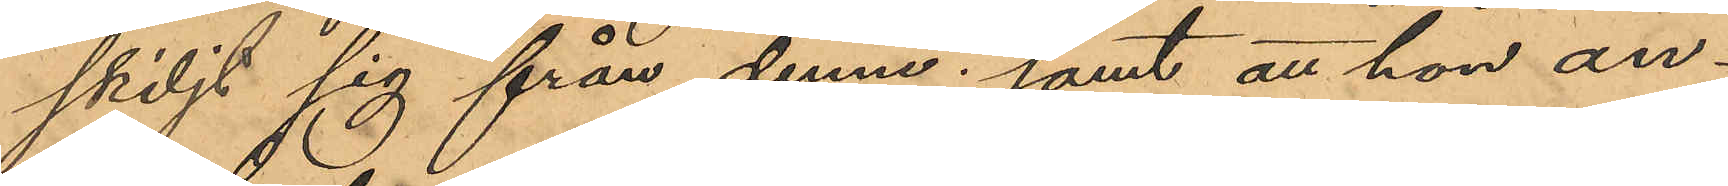skiljt sig från denne; samt att hon an¬
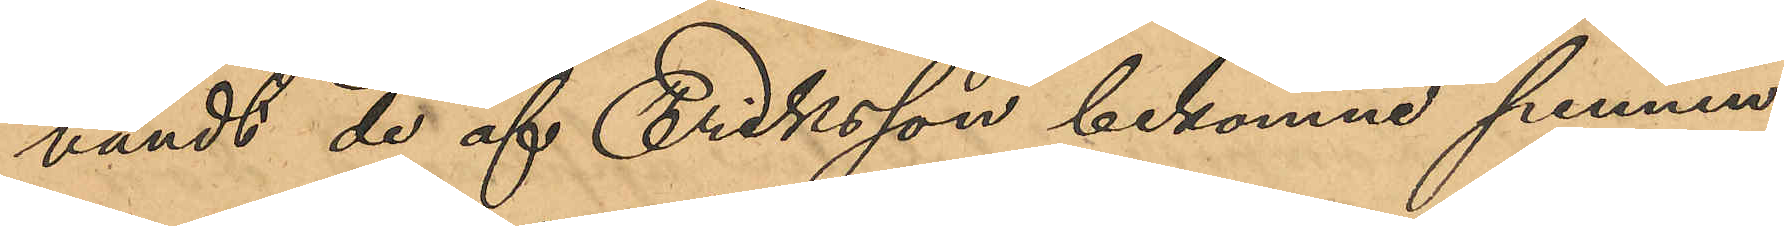vändt de af Eriksson bekomne pennin¬
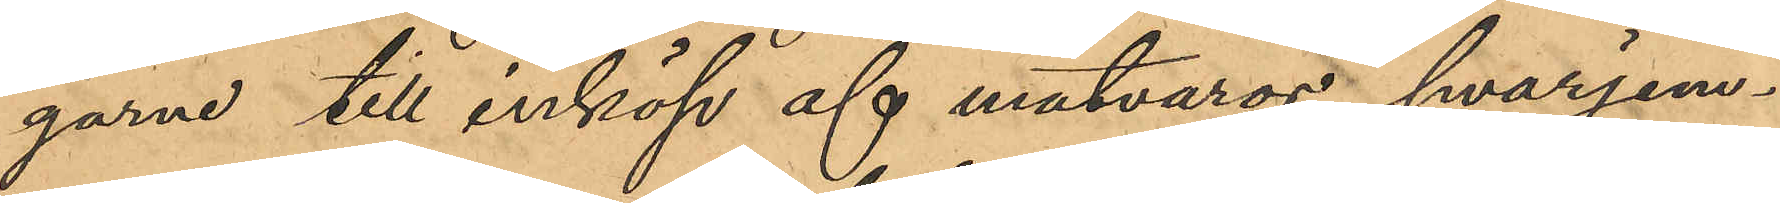garne till inköp af matvaror, hvarjem¬
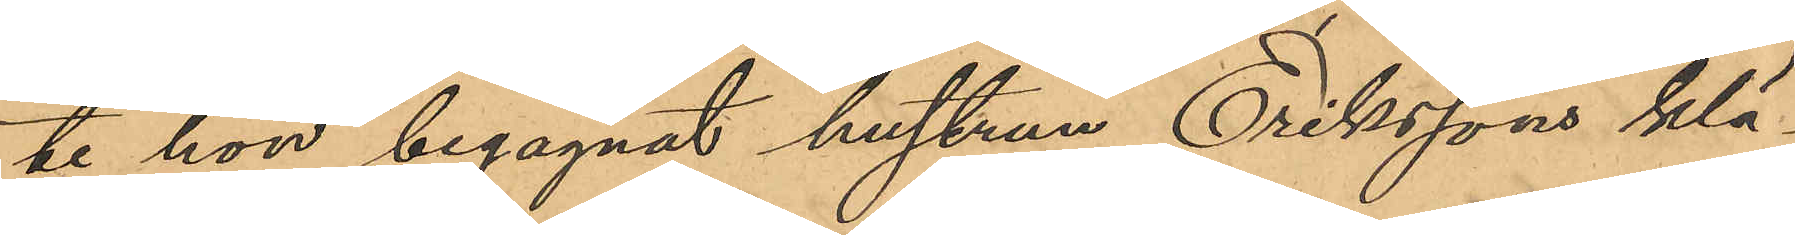te hon begagnat hustrun Erikssons klä¬
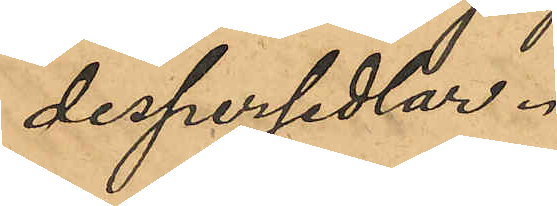despersedlar.
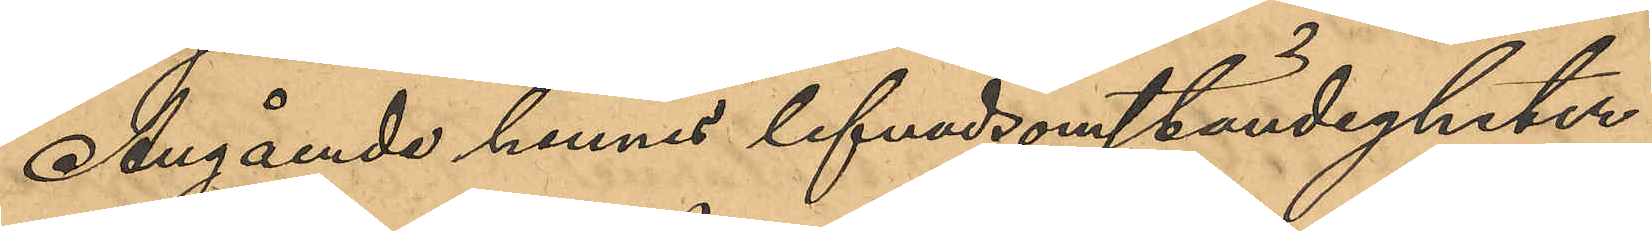Angående hennes lefvnadsomständigheter
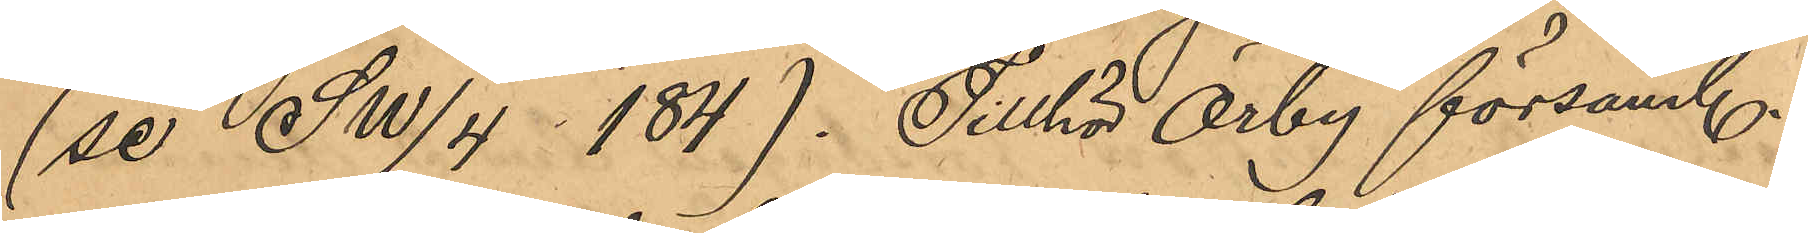(se SW/4  184). Tillhör Örby församl.
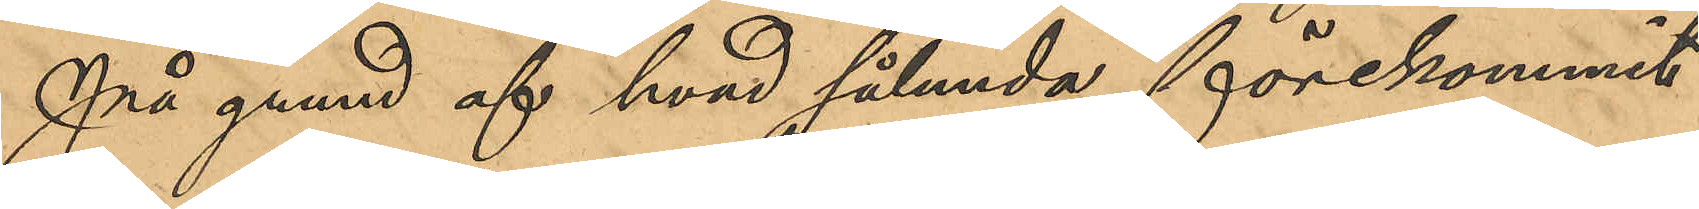På grund af hvad sålunda förekommit
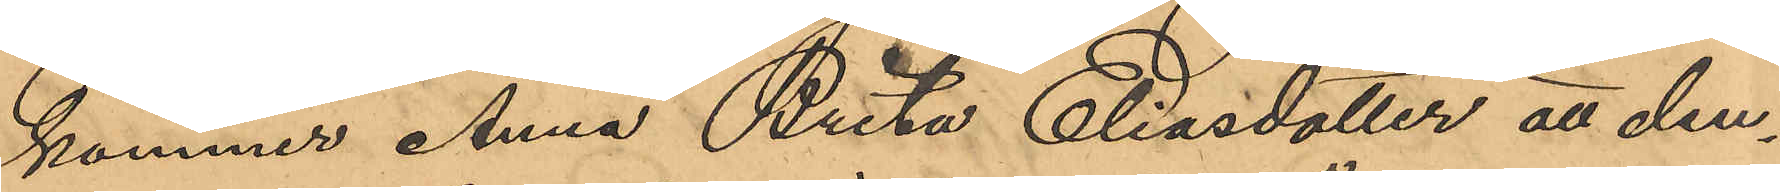kommer Anna Brita Eliasdotter att den¬
